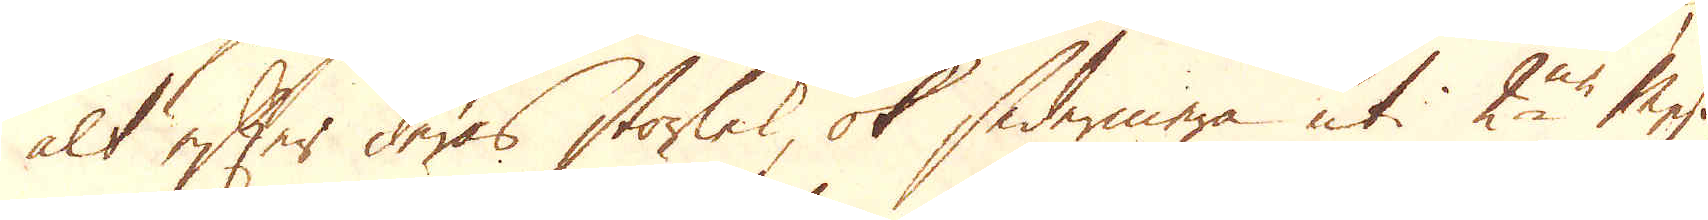alt efter deras storlek, ok sedermera uti 2ne Mesing
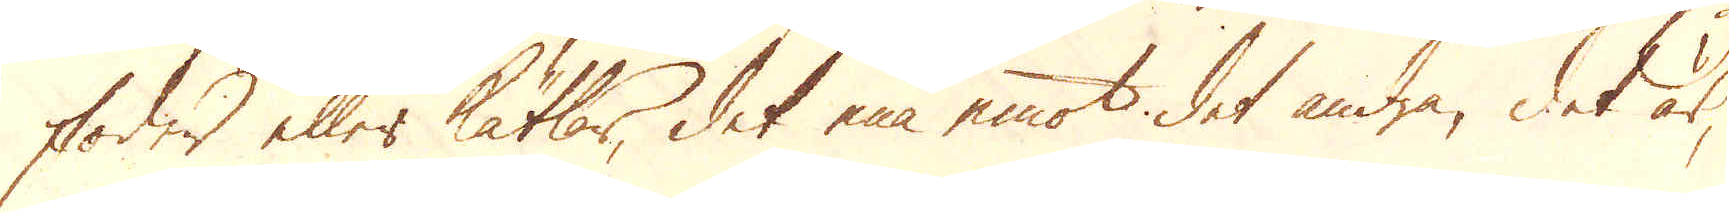foder eller kätlar, det ena emot det andra, det är,
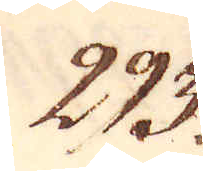293.
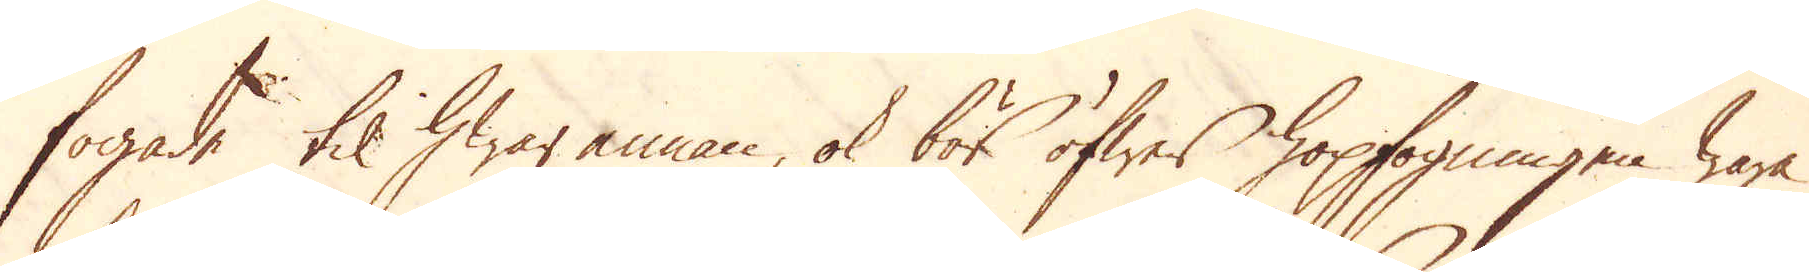fogade til hwar annan, ok bör öfwer hopfogningen wara
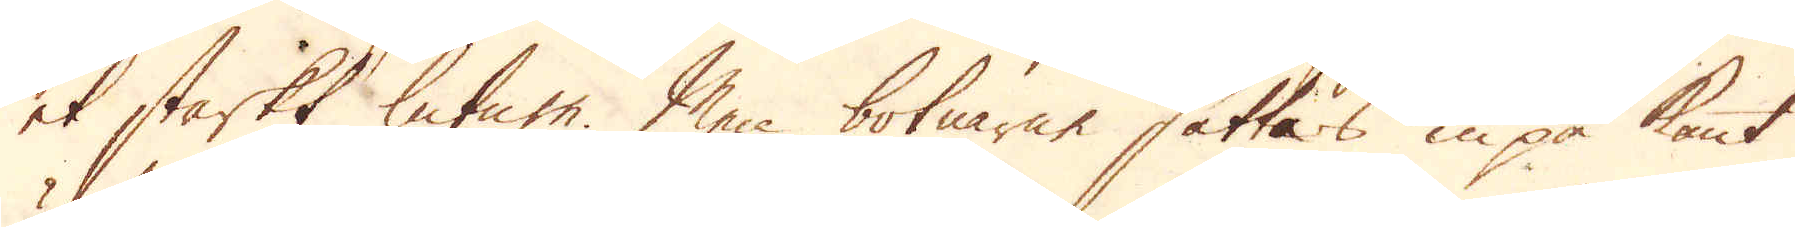et starkt letum. Men botnarne sättas inpå kant
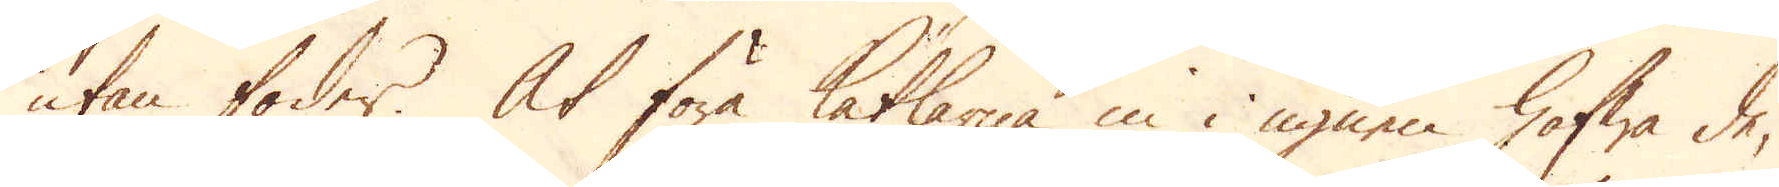utan foder. At föra Kätlarna in i ugnen hafwa de,
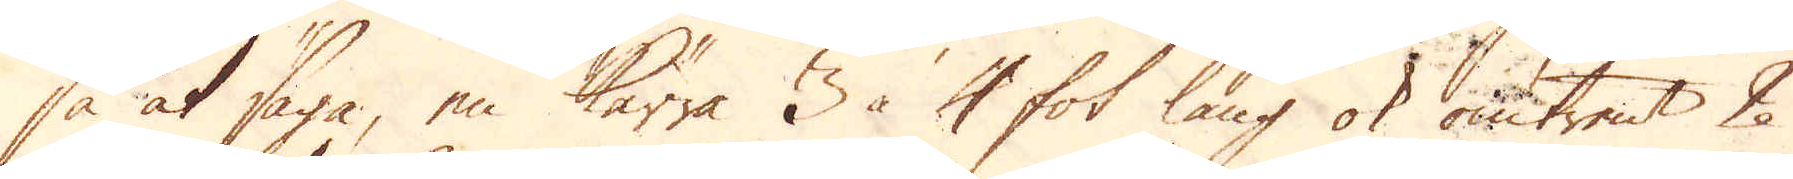så at säga, en kärra 3 à 4 fot lång ok omtrent 2
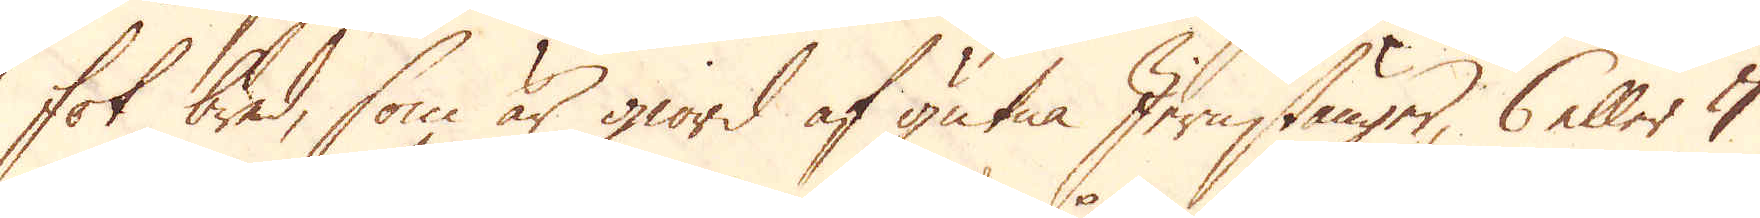fot bred, som är giord af gutna Jernstänger, 6 eller 7
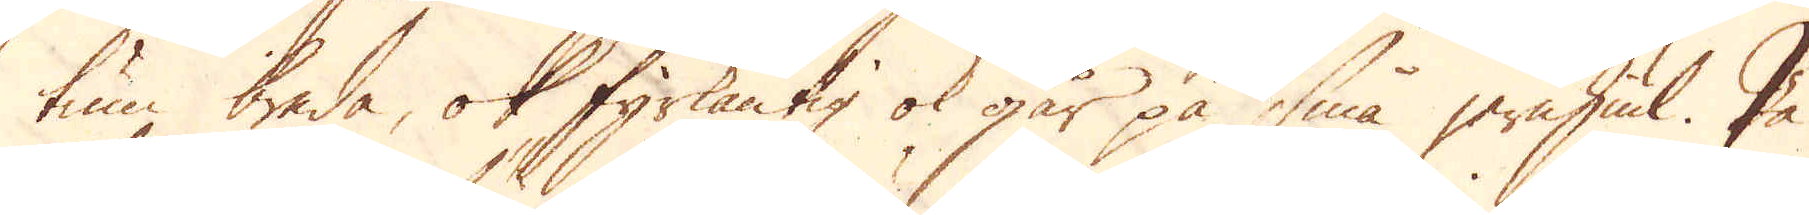tum breda, ok fyrkantig ok går på små jernhiul. På
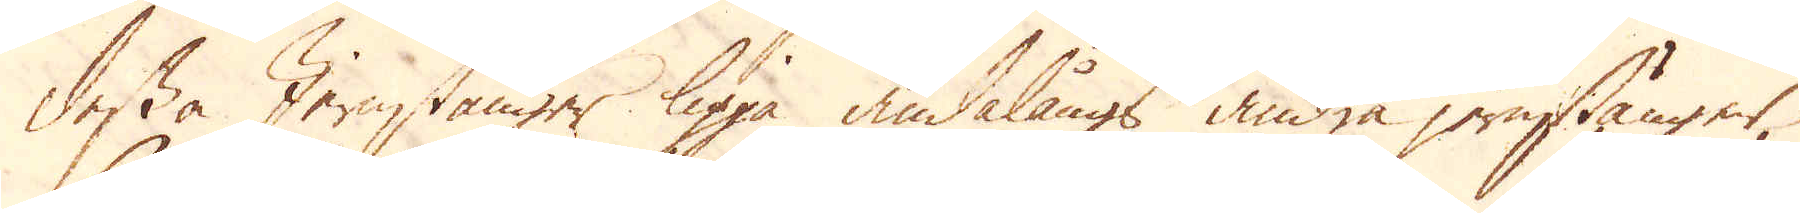dessa Jernstänger ligga ändalångs andra jernstänger,
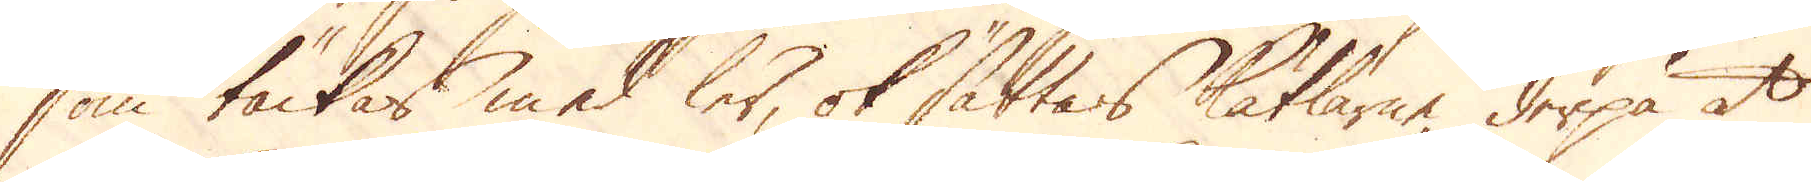som täckas med ler, ok sättas Kätlarne derpå at
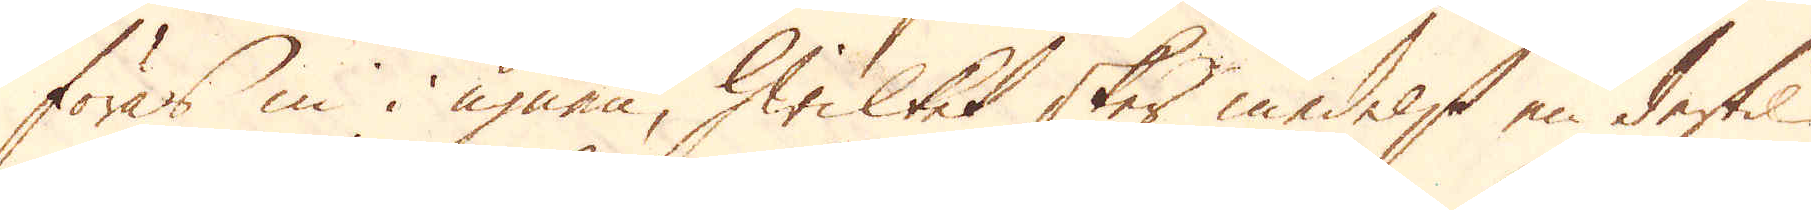föras in i ugnen, hwilket sker medelst en dertil
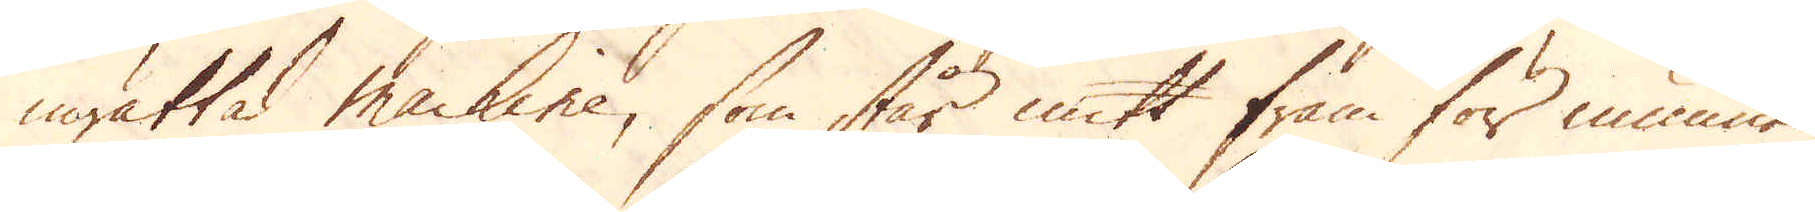inrättad machine, som står mitt fram för munnen
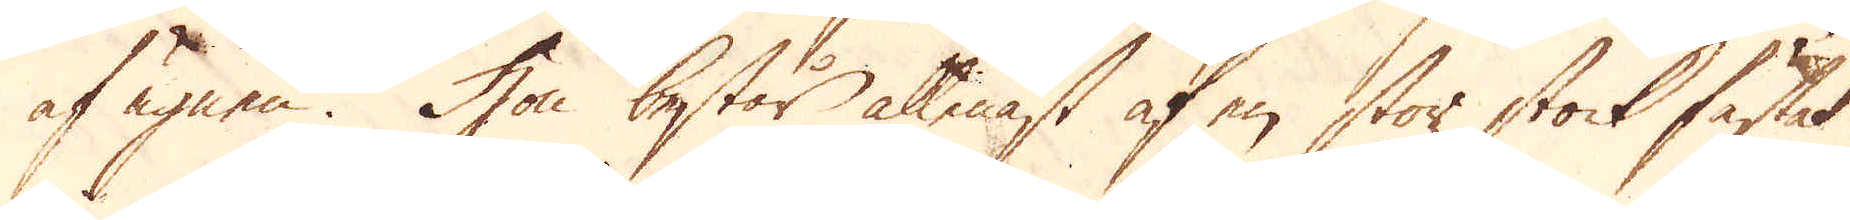af ugnen. Hon består allenast af en stor stock fästat
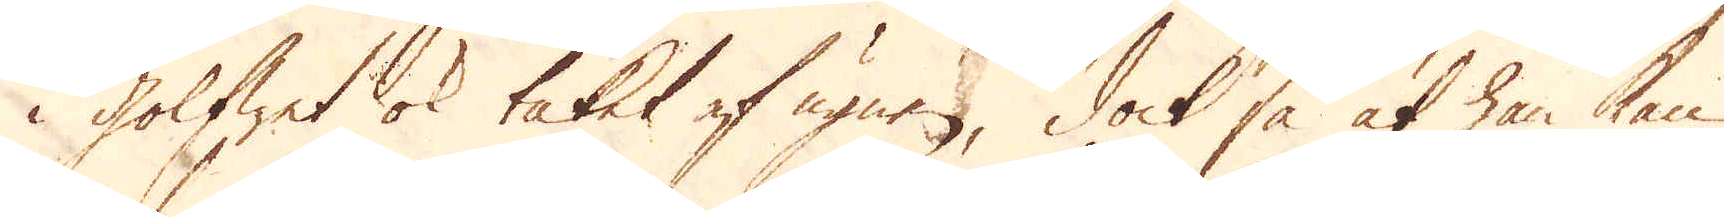i golfwet ok taket af ugnen, dock så at han kan
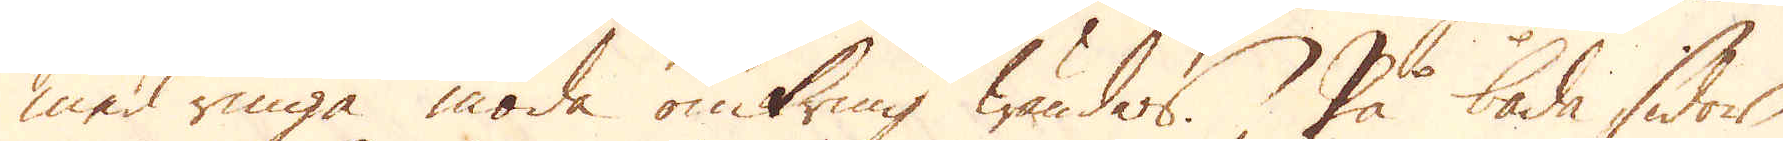med ringa möda omkring wändas. På båda sidor
